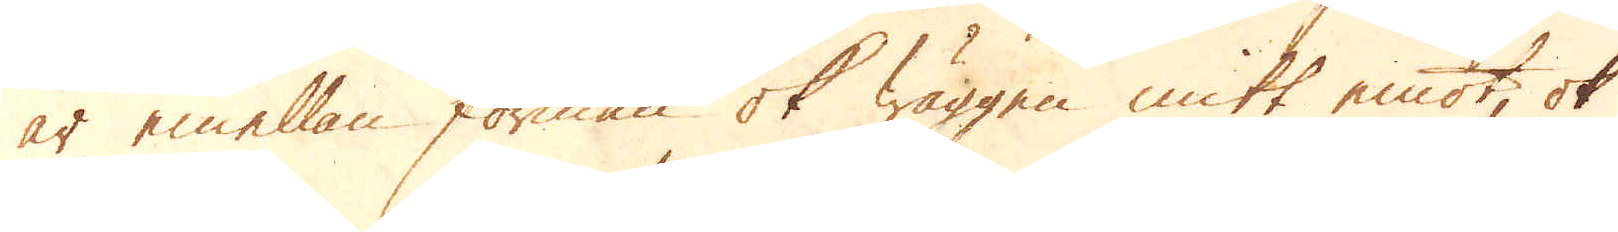är emellan forman ok wäggen mitt emot, ok
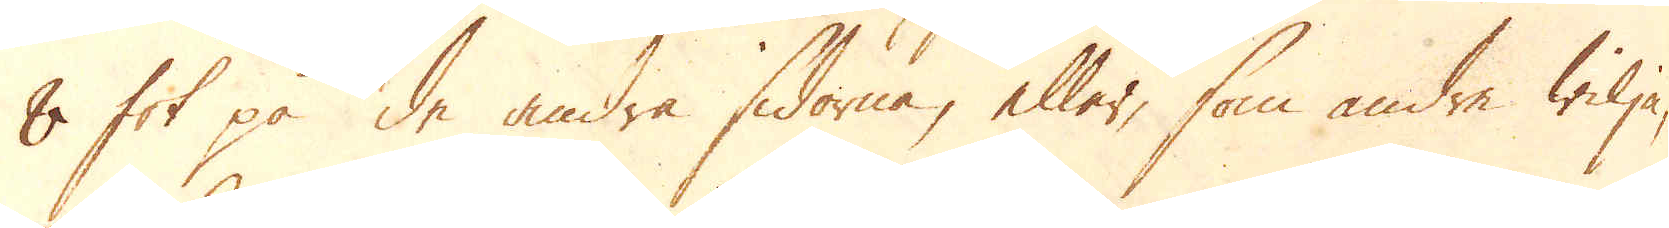8 fot på de andra sidorna, eller, som andre wilja,
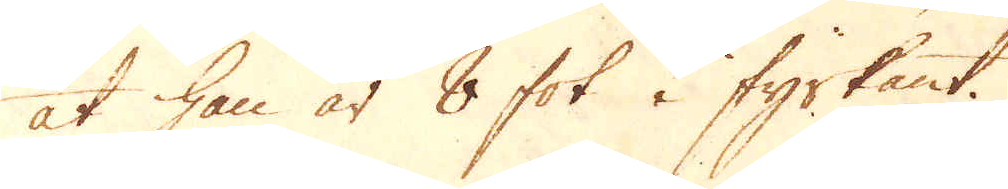at han är 8 fot i fyrkant.
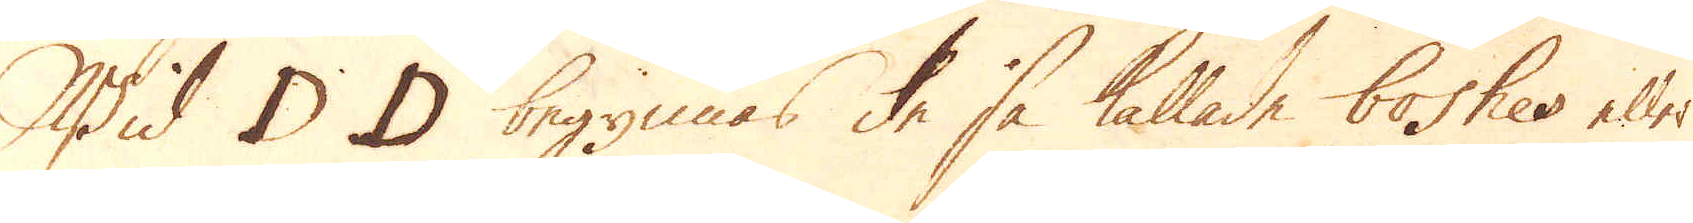Wid D D begynnas de så kallade boshes eller
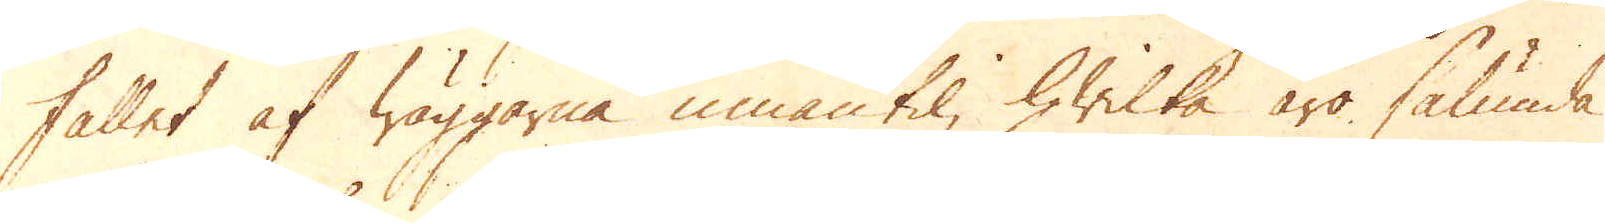fallet af wäggarna innantil, hwilka äro sålunda
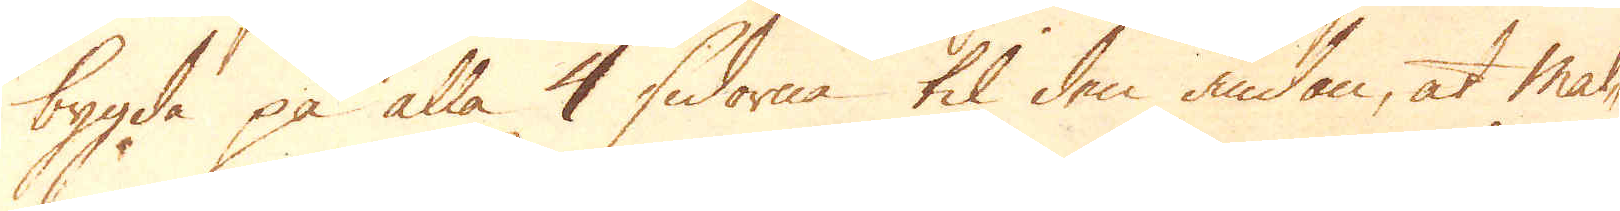bygda på alla 4 sidorna til den ändan, at mal-
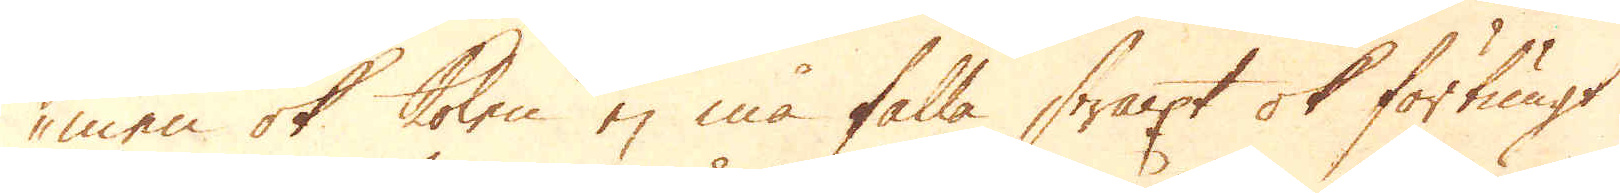men ok kolen ej må falla straxt ok för tungt
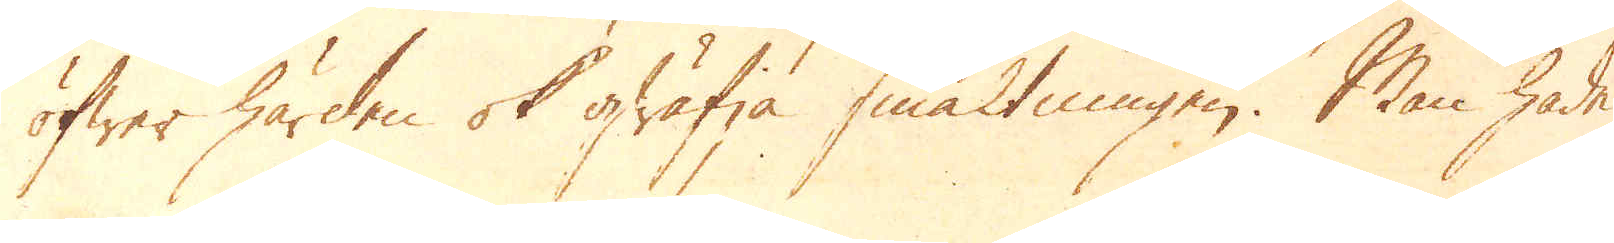öfwer härden ok qwäfja smältningen. Man hade
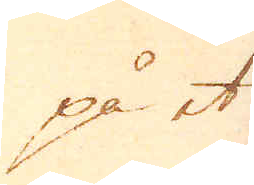på et
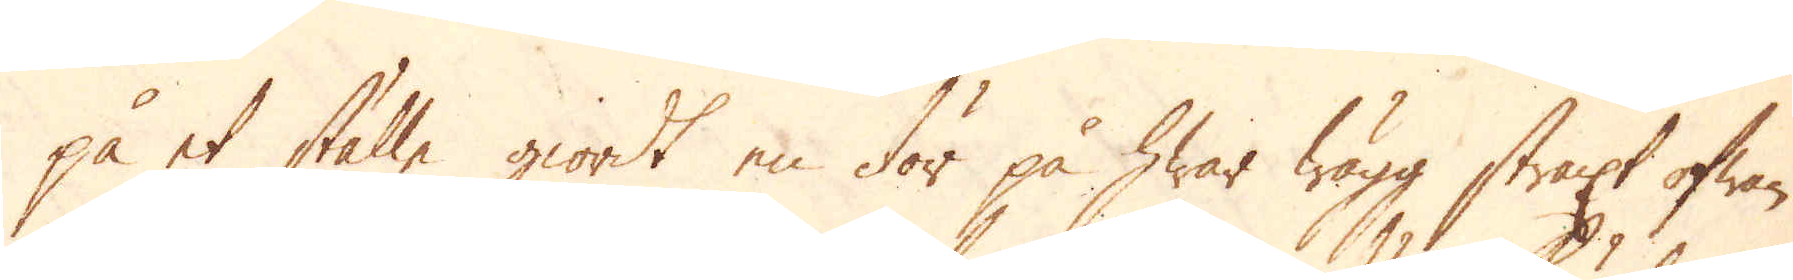på et ställe giordt en dör på hwar wägg straxt ofwan
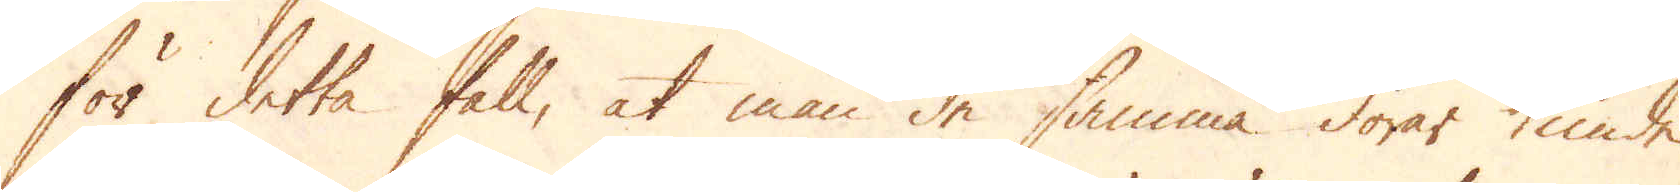för detta fall, at man de samma dörar kunde
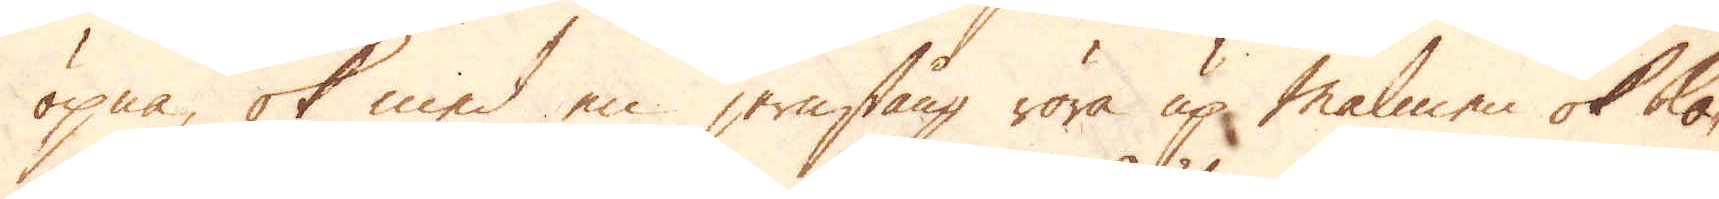öpna, ok med en jernstång röra up Malmen ok ko-
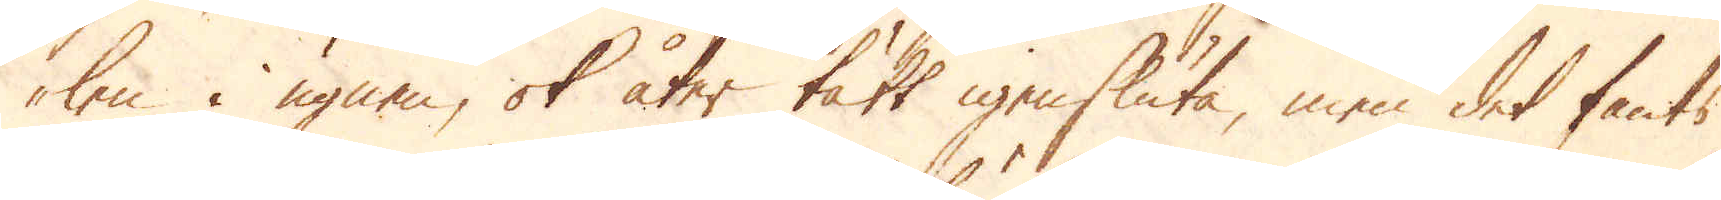len i ugnen, ok åter tätt igensluta, men det fants
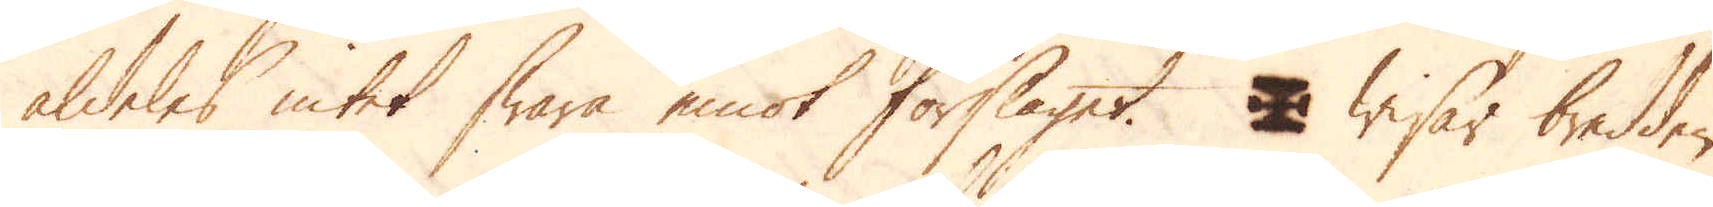aldeles intet swara emot förslaget. ? wisar bredden
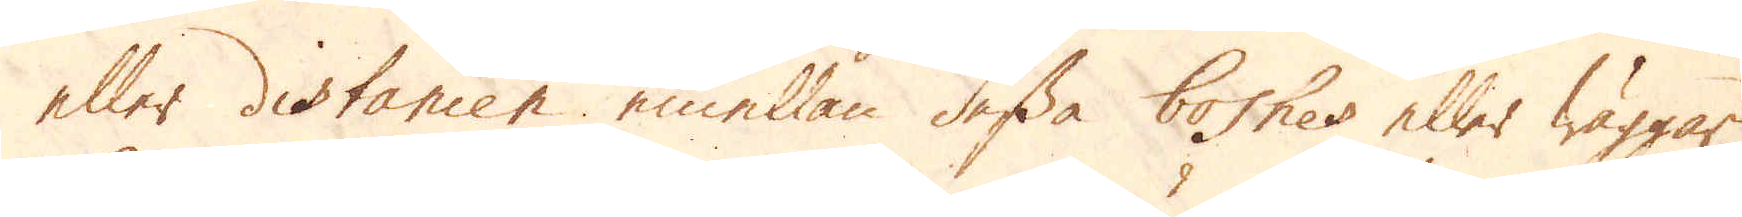eller distancen emellan dessa boshes eller wäggar
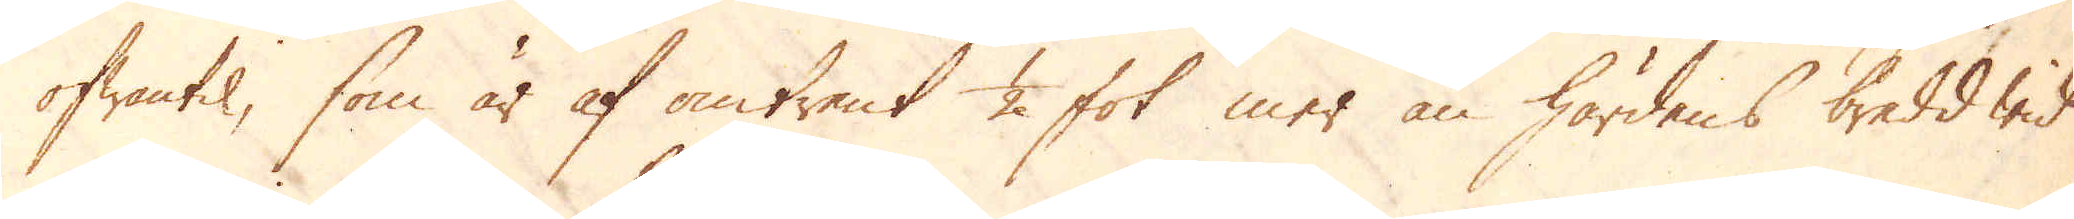ofwantil, som är af omtrent 1/2 fot mer än härdens bredd wid
